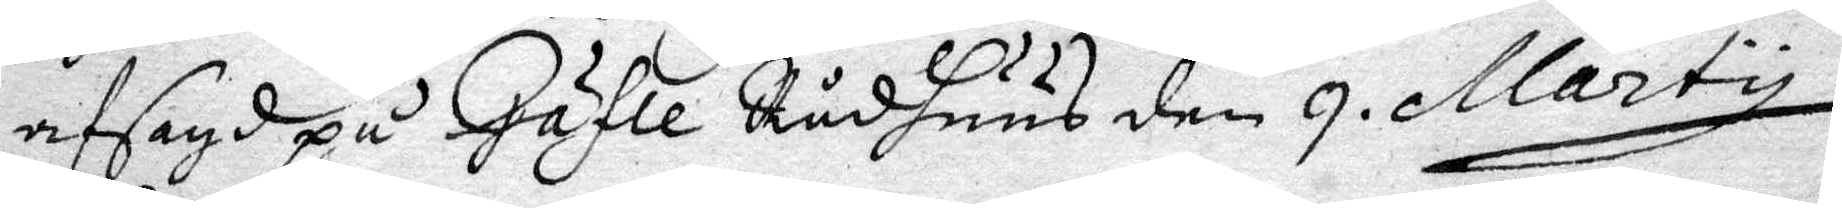afsagd på Gäfle Rådhuus den 9 Marty
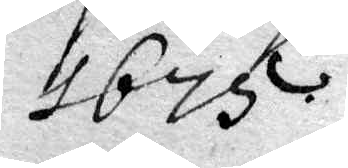1675.
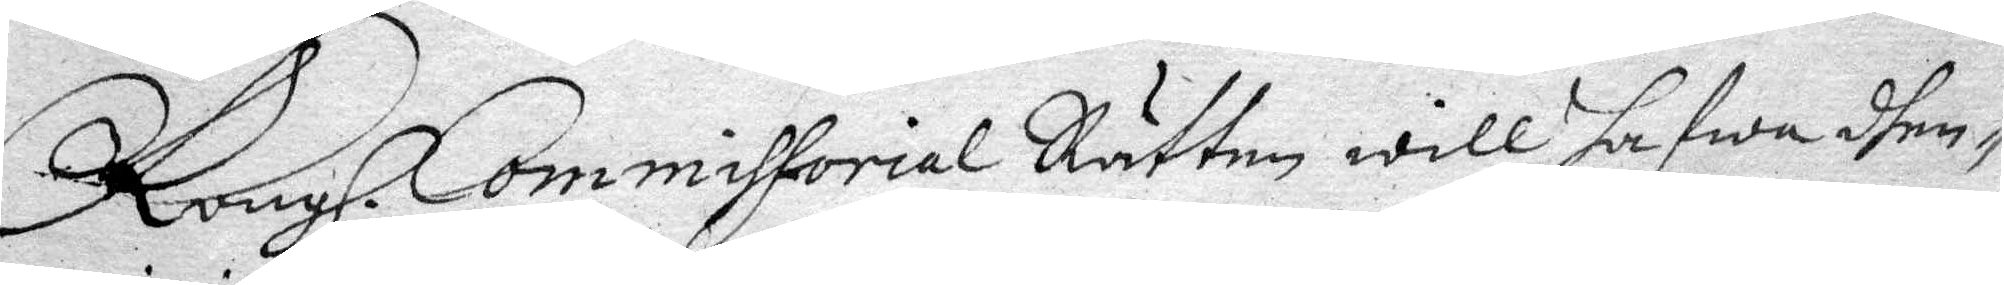Kongl. Commissorial Rätten will hafwa dhen
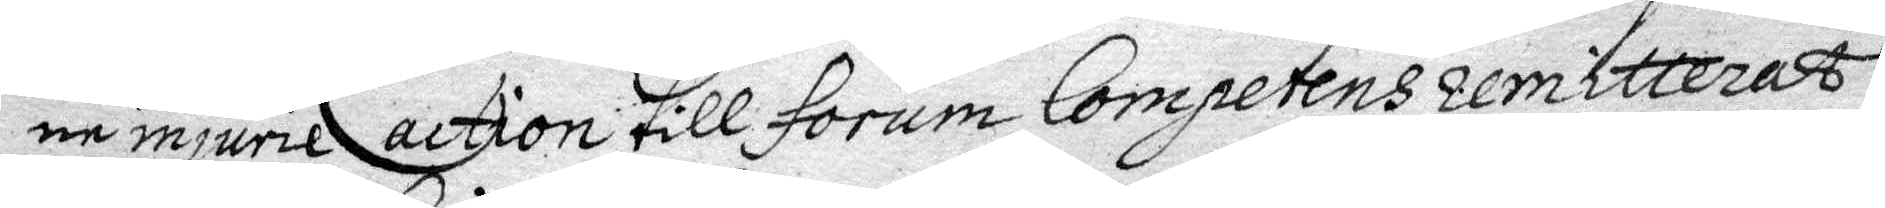in injurie action till forum Competens remitterat
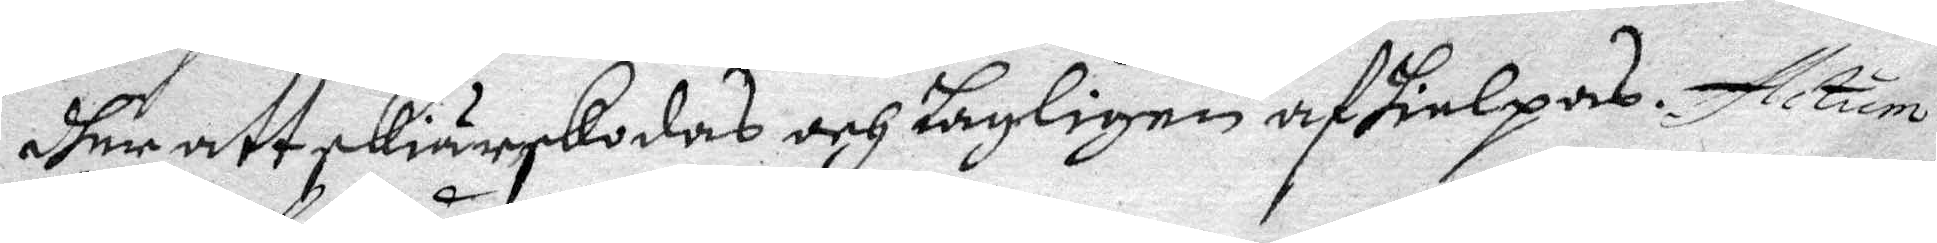dher att skiärskodas och lagligen afhielpas. Actum
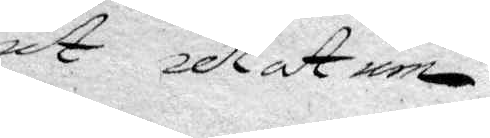A datum
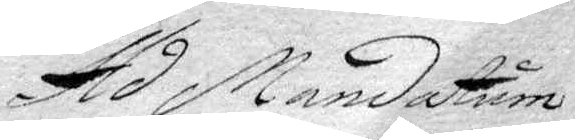Ad Mandatum
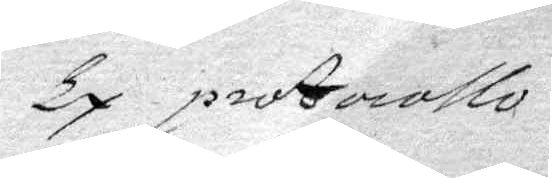ty protocollo
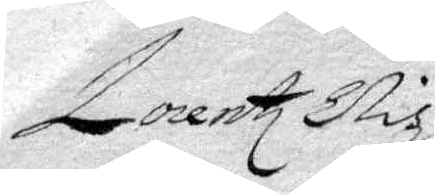Lorentz Elis
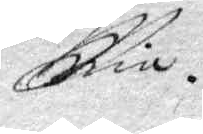...
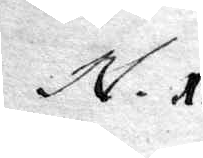N. 1
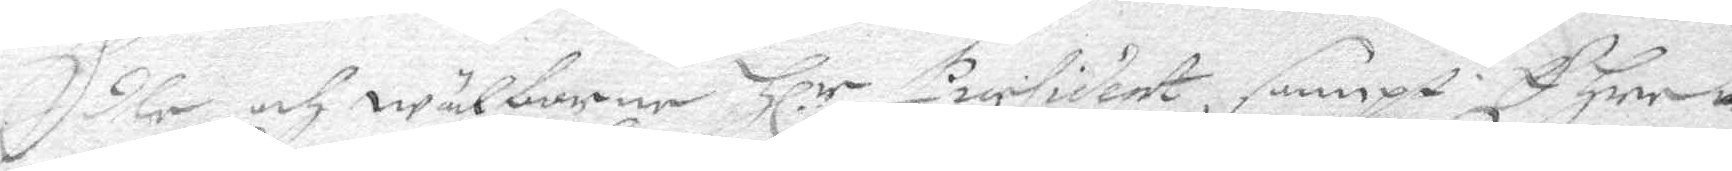Edle och Wälborne Hl.r President, sampt E Herrar
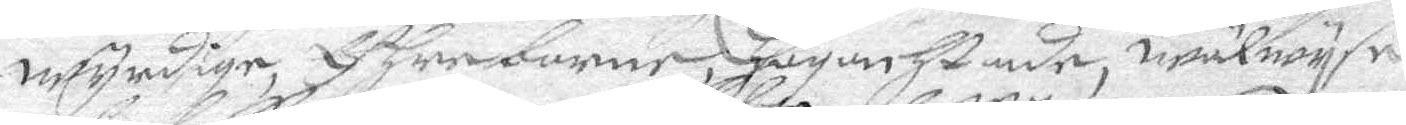wyrdige, Ederborne, Högunhstade, wälwyse
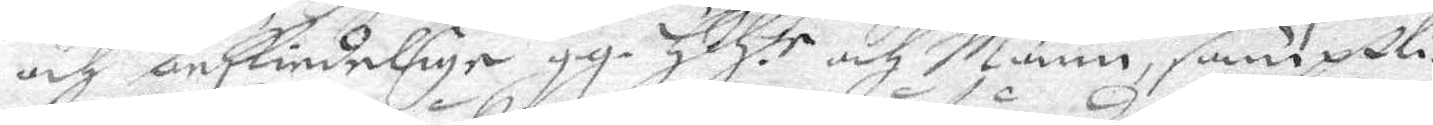och beskindelige gg. HH.te och Männ, samptli¬
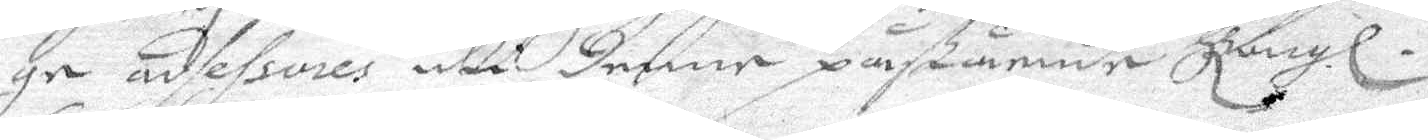ge adsessores uti denne påståendhe Kongl.
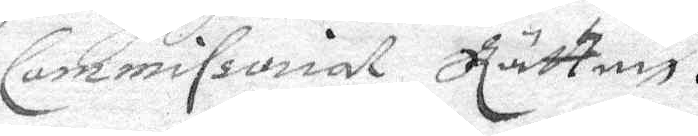Commissorial Rätten.
